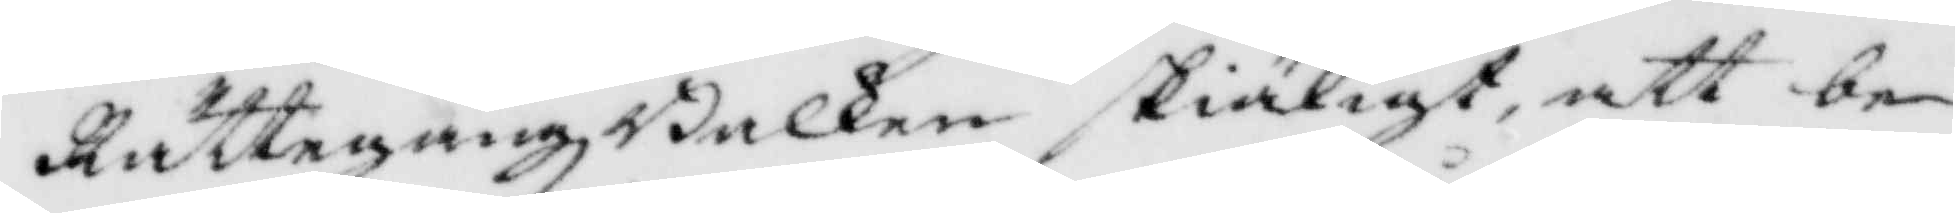RättegångsBalken skiäligt, att be¬
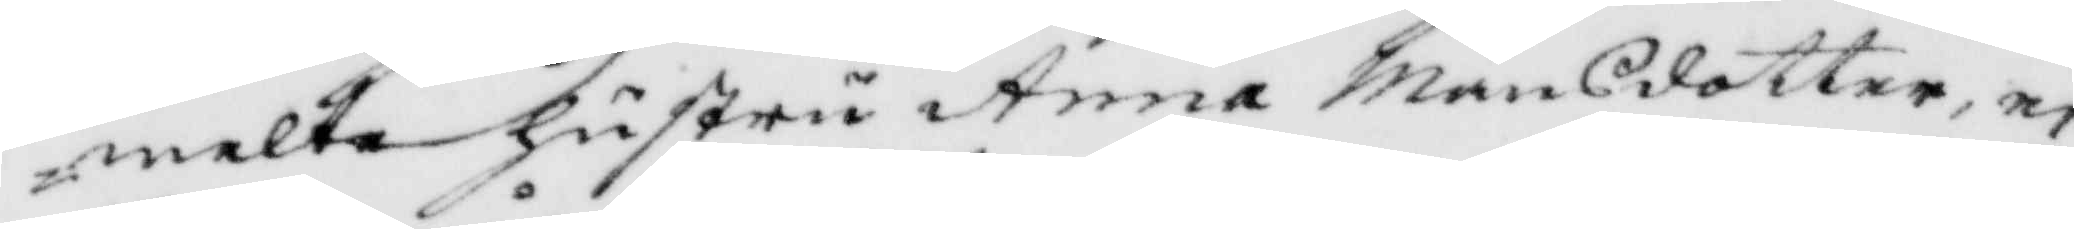melte hustru Anna Månsdotter, ei
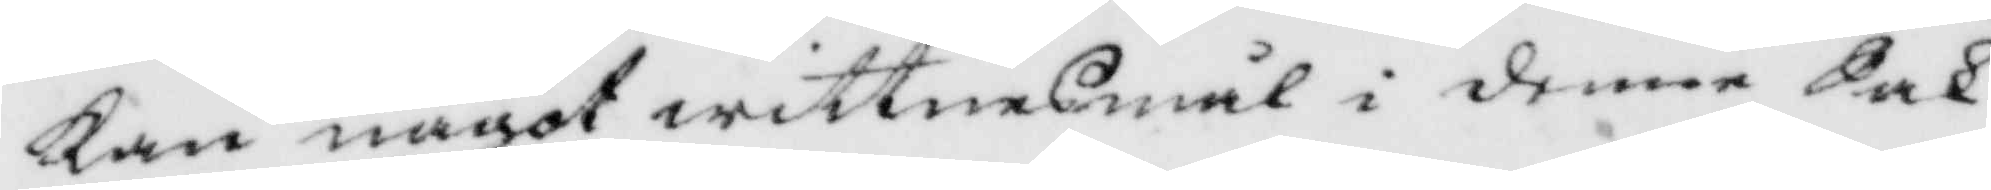Kan något wittnesmål i denna Sak
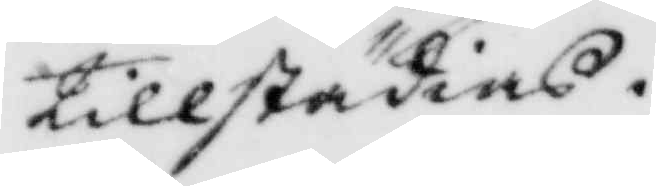tillstådias.
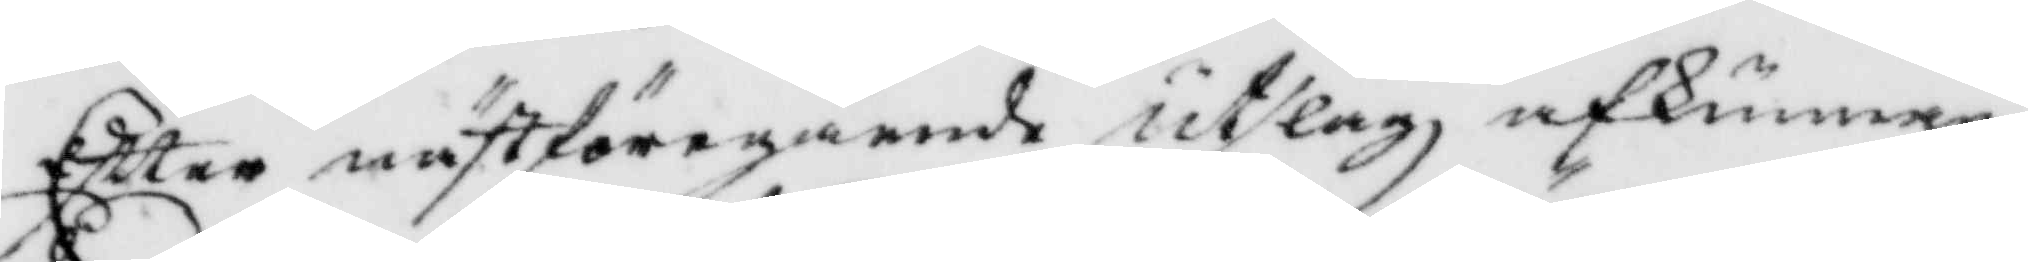Efter nästföregående utslag afkunnan¬
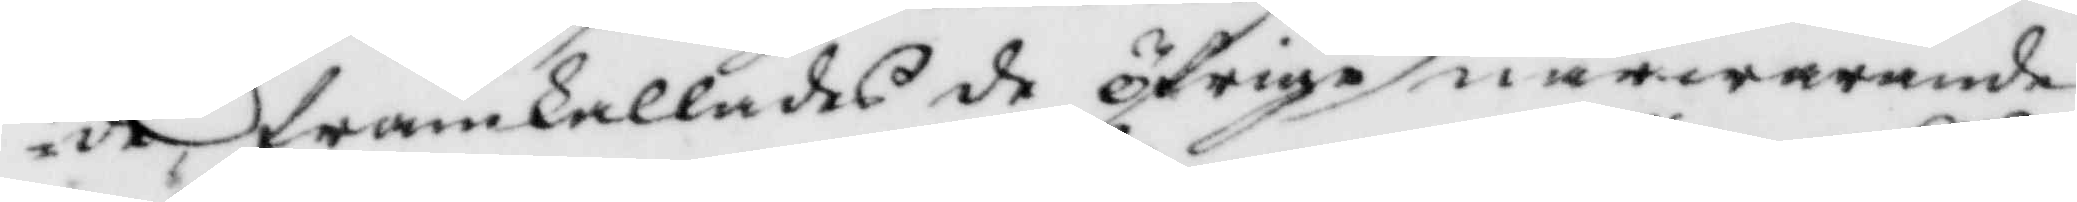de, framkallades öfrige närwarande
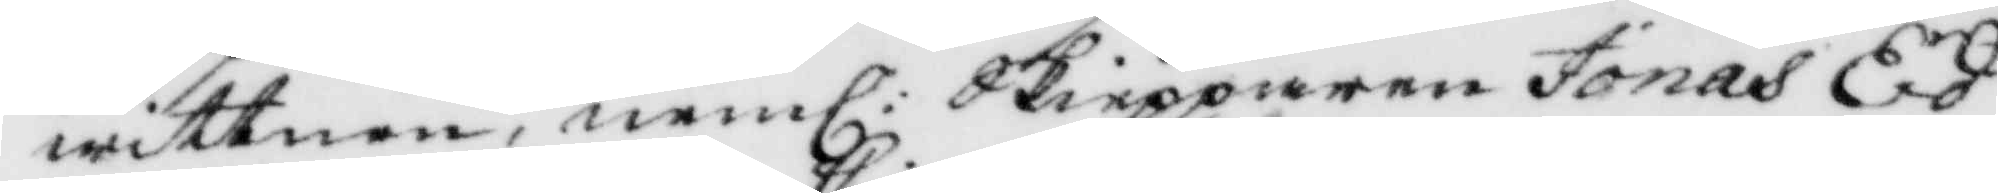wittnen, neml: Skiepparen Jonas Ed¬
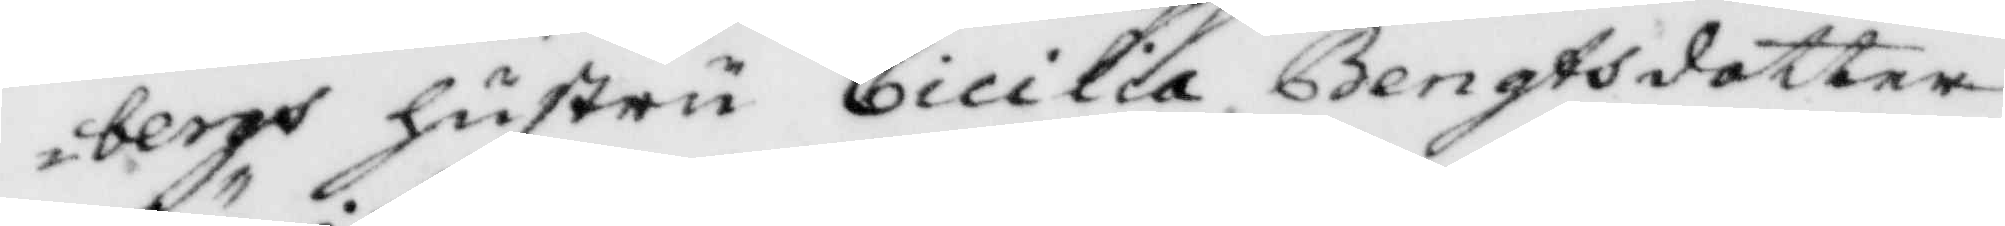bergs hustru Cicilia Bengtsdotter
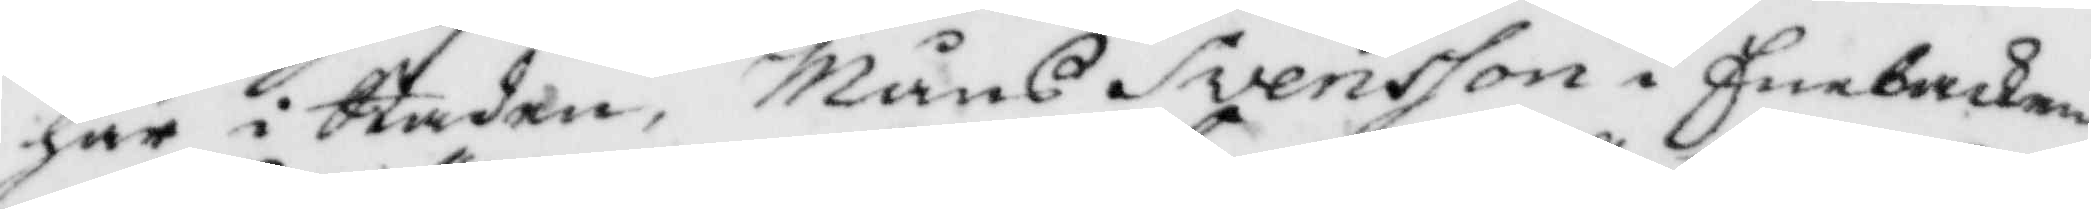här i Staden, Måns Svwnsson i Enebacken,
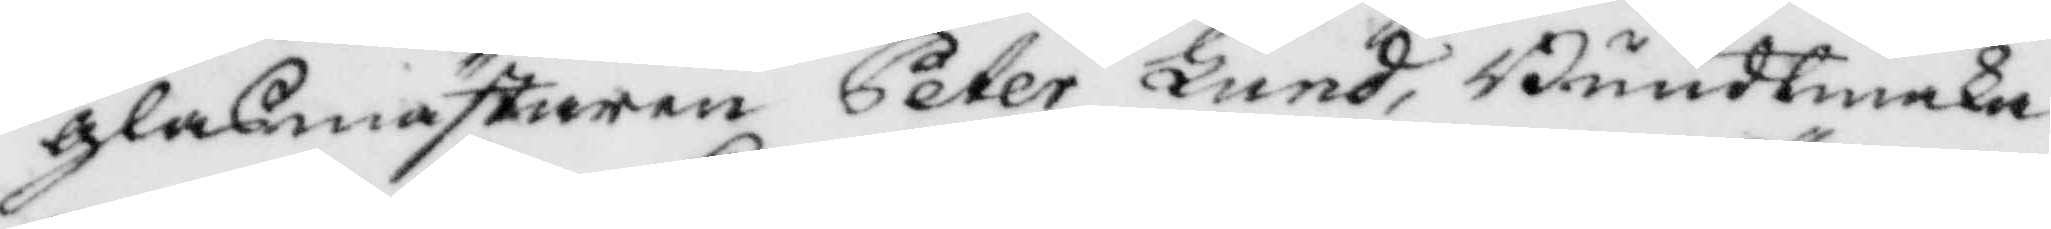gladmästaren Peter Lund, Bundtmaka¬
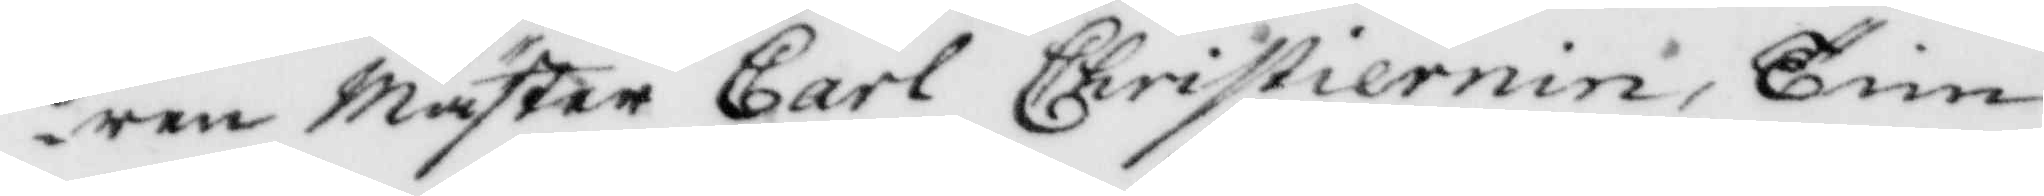ren Mäster Carl Christiernin, Tim¬
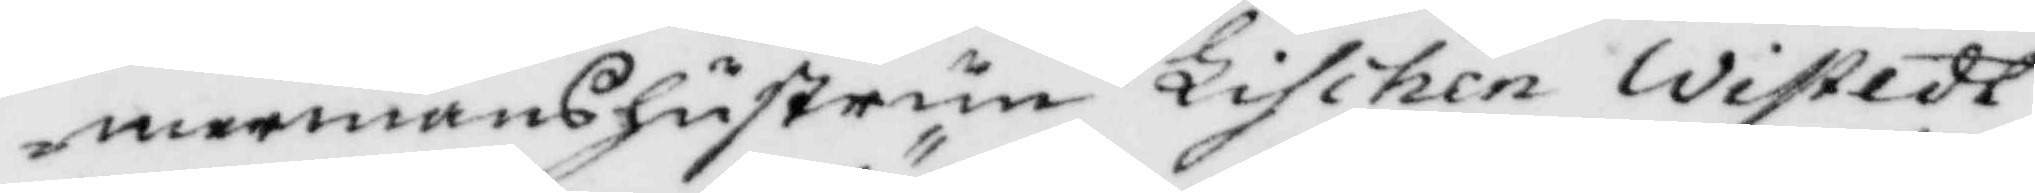mermanshustrun Lischen Wistedt,
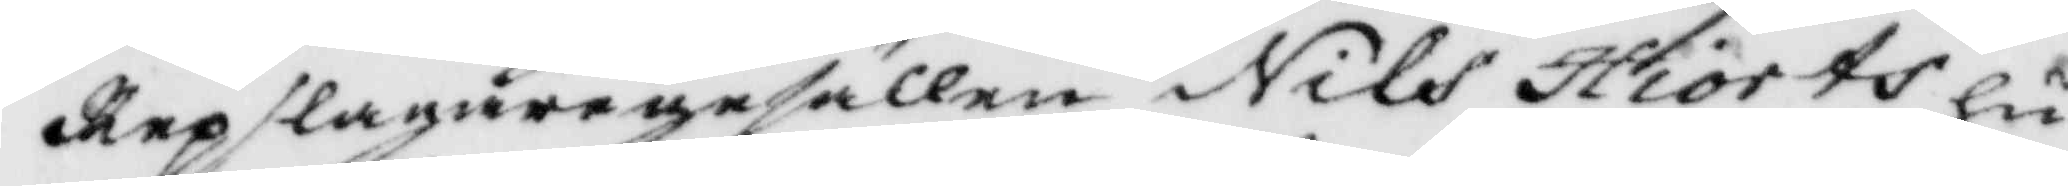Repslagaregesällen Nils Hiorts hu¬
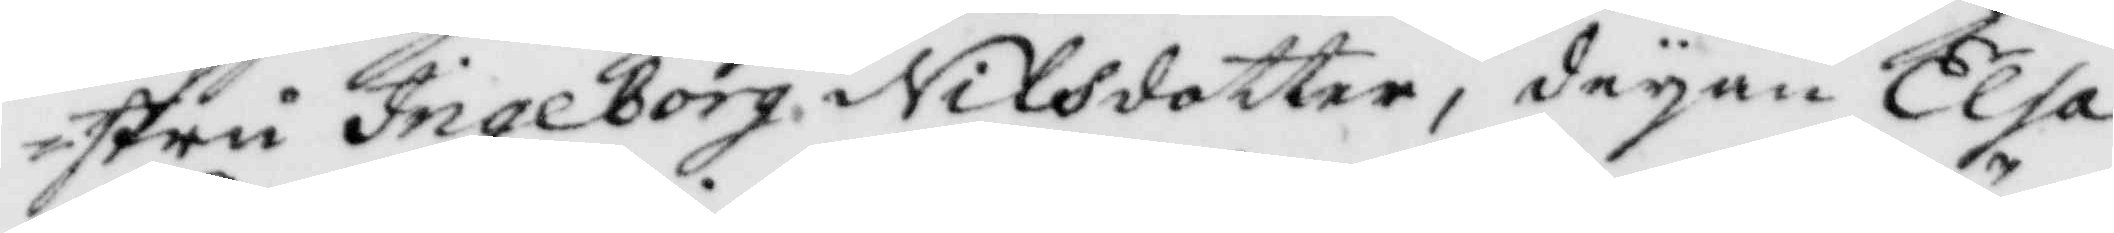stru Ingeborg Nilsdotter, deyan Elsa
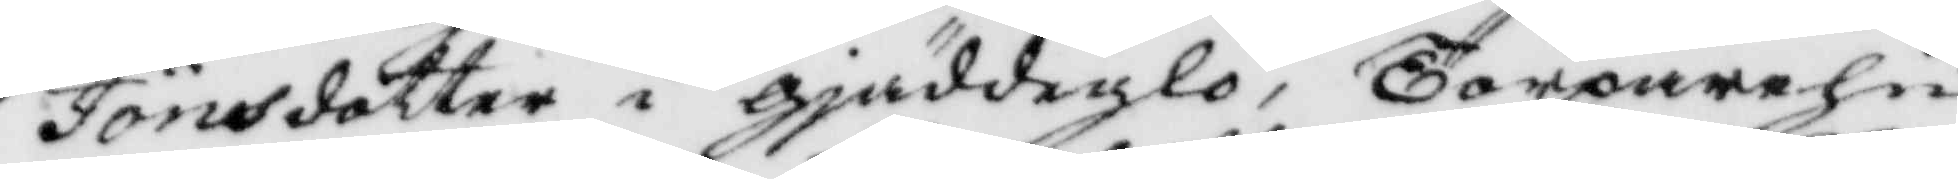Jönsdotter i gjäddeglo, Torparehu¬
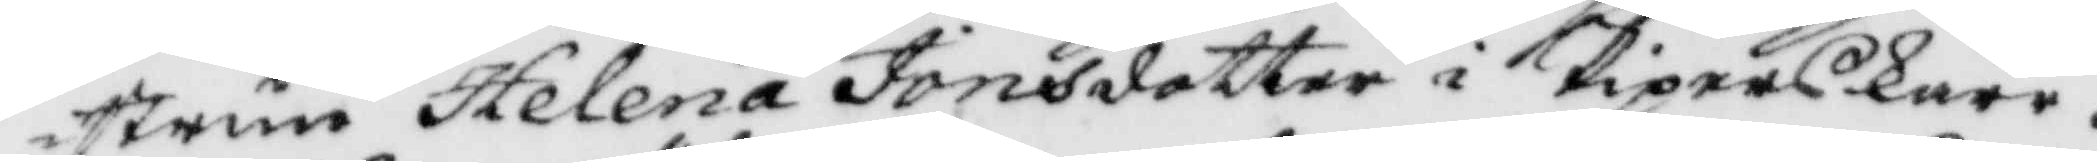strun Helena Jonsdotter i Piperkärr.
